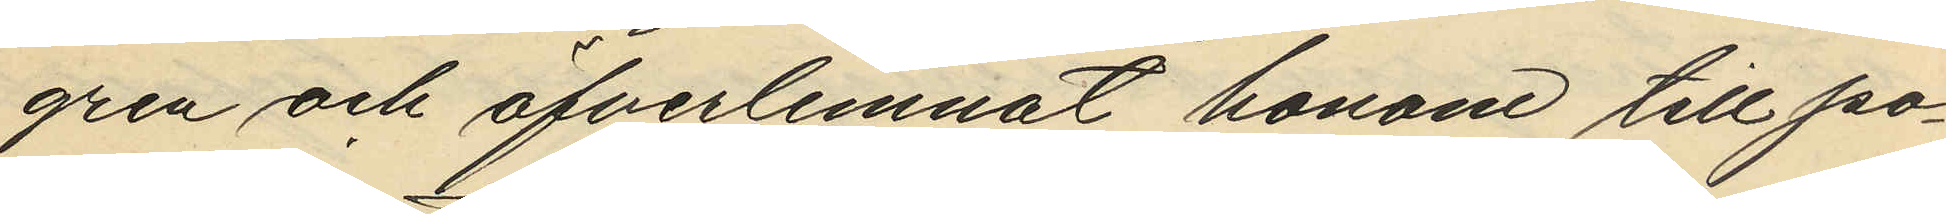gren och öfverlemnat honom till po¬
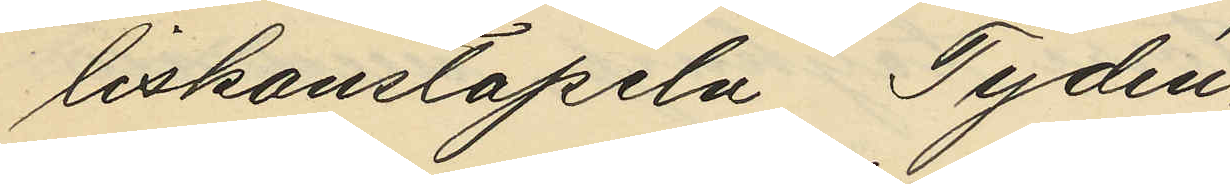liskonstapeln Tydén.
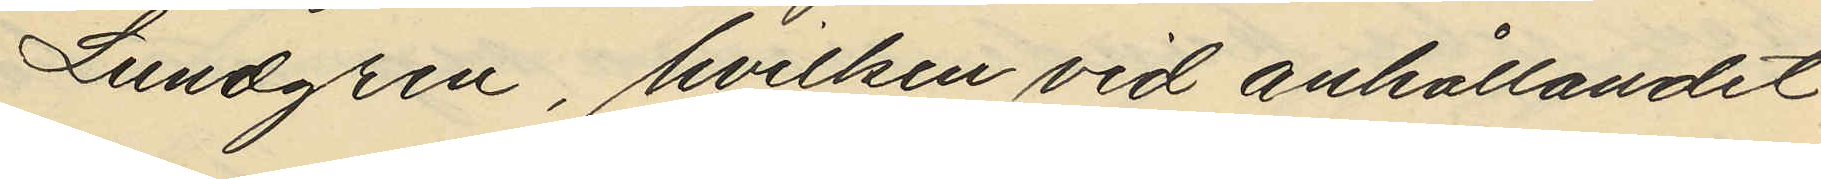Lundgren, hvilken vid anhållandet
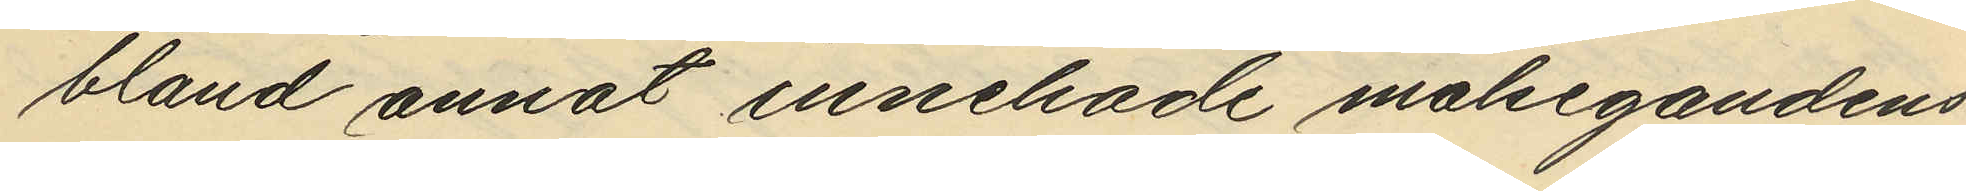bland annat innehade målsegandens
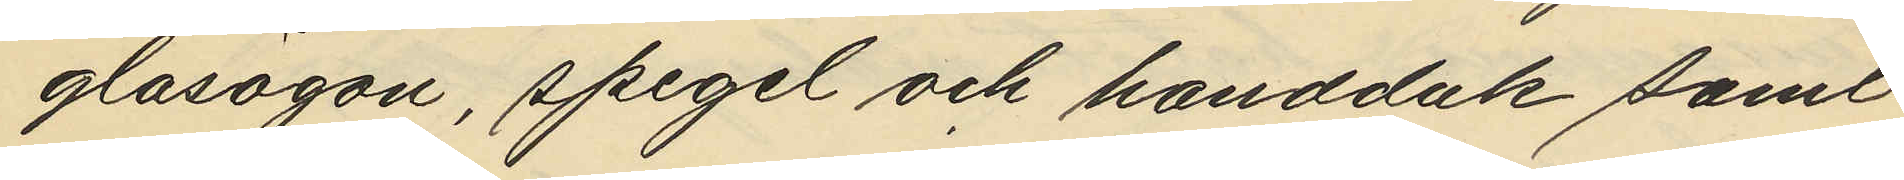glasögon, spegel och handduk samt
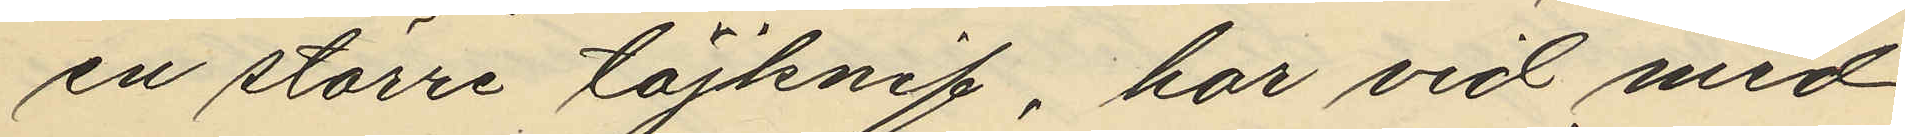en större täljknif, har vid med
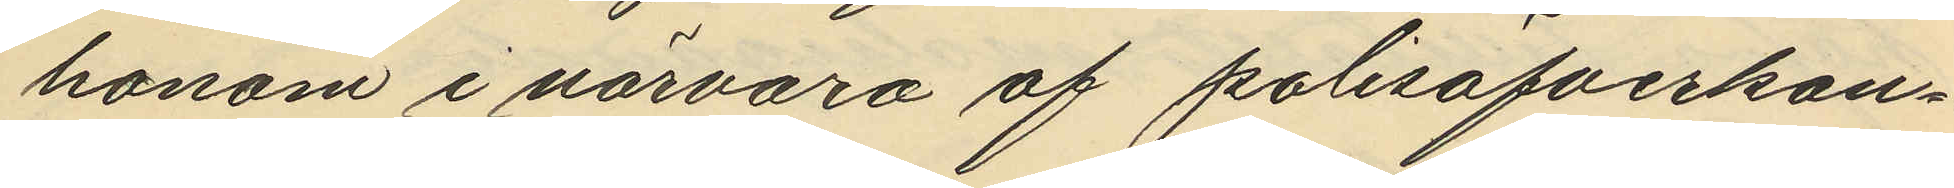honom i närvaro af polisöfverkon¬
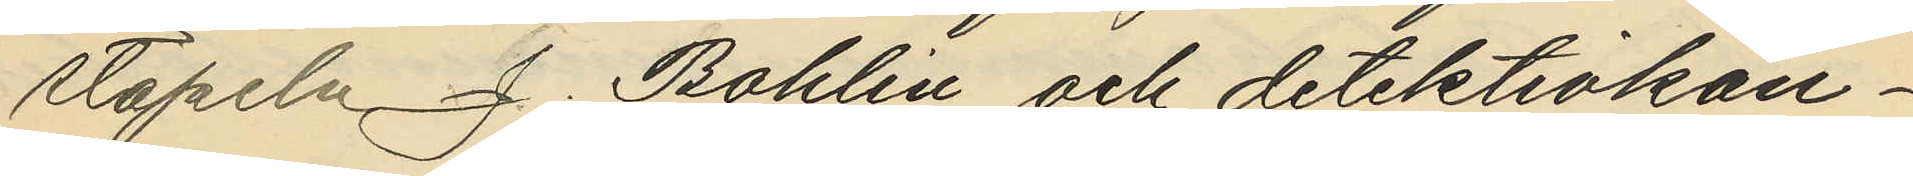stapeln J. Bohlin och detektivkon¬
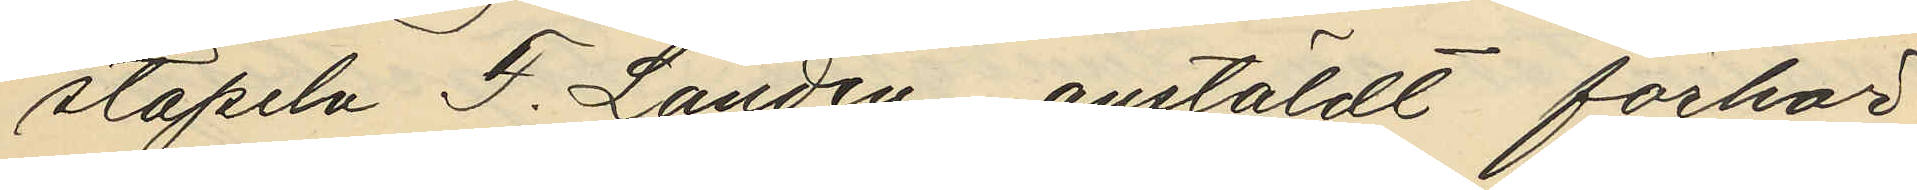stapeln F. Landén anstäldt förhör
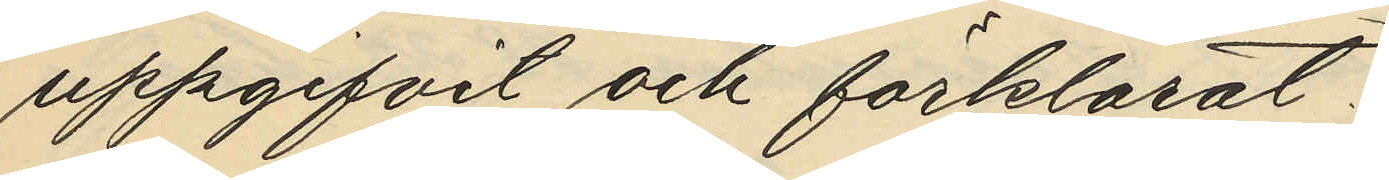uppgifvit och förklarat:
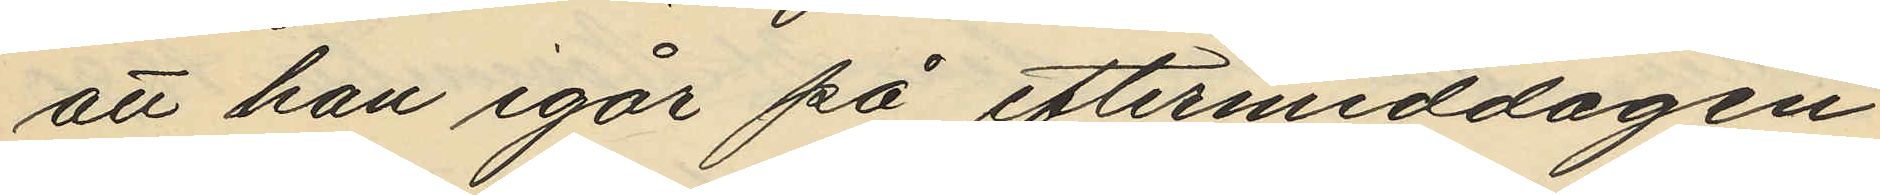att han igår på eftermiddagen
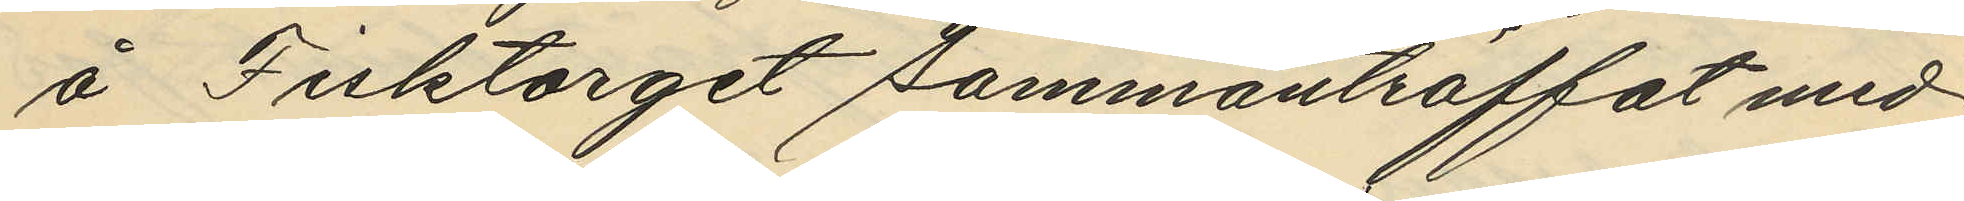å Fisktorget sammanträffat med
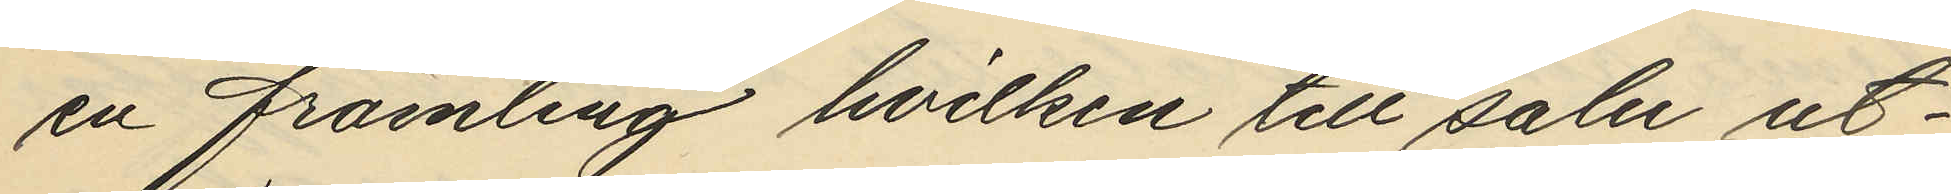en främling hvilken till salu ut¬
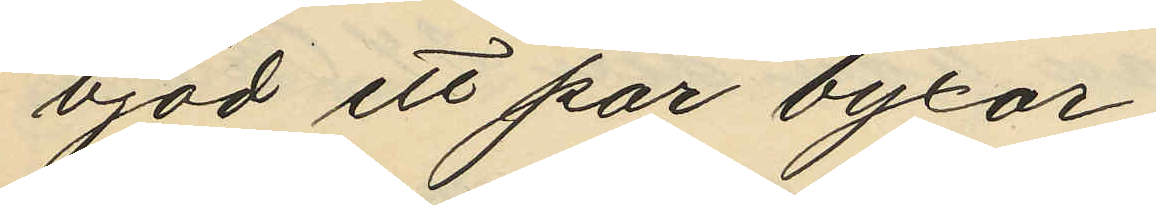bjöd ett par byxor;
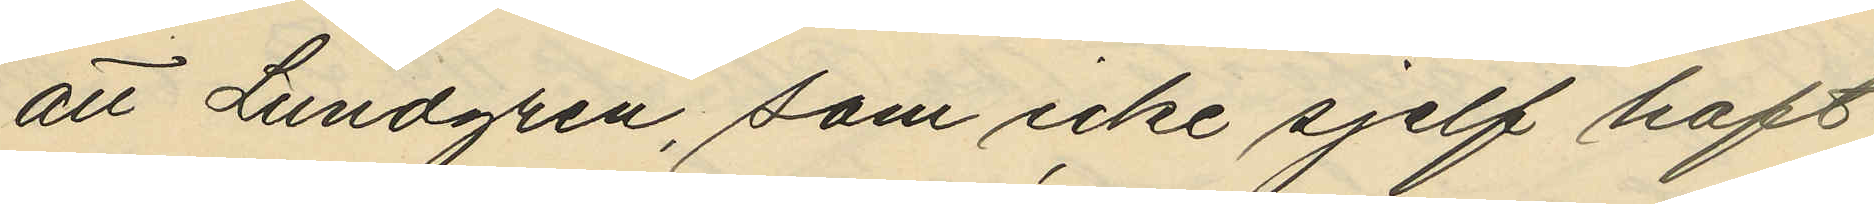att Lundgren, som icke sjelf haft
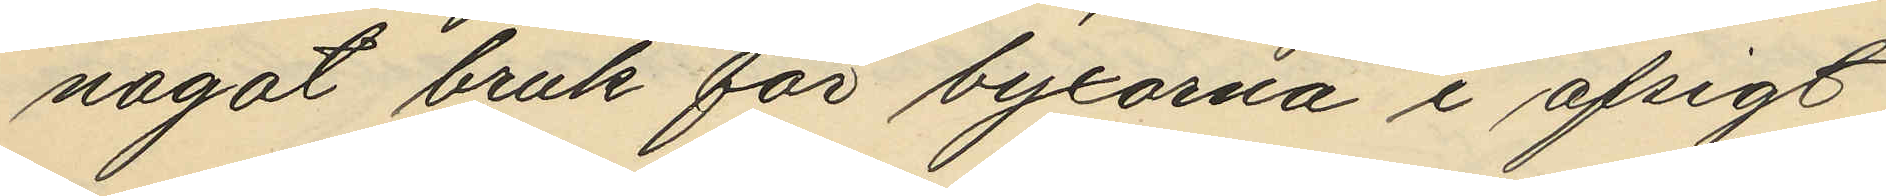något bruk för byxorna i afsigt
